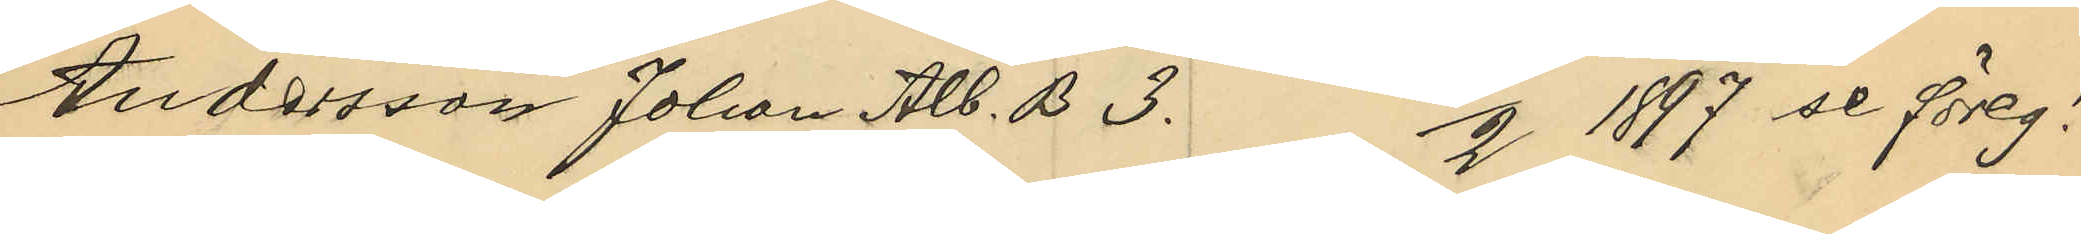Andersson Johan Alb. B 3. 4/2 1897 se föreg!
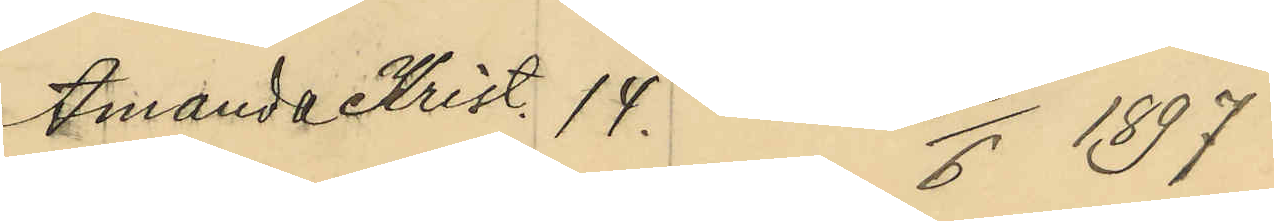Amanda Krist. 14. 23/6 1897
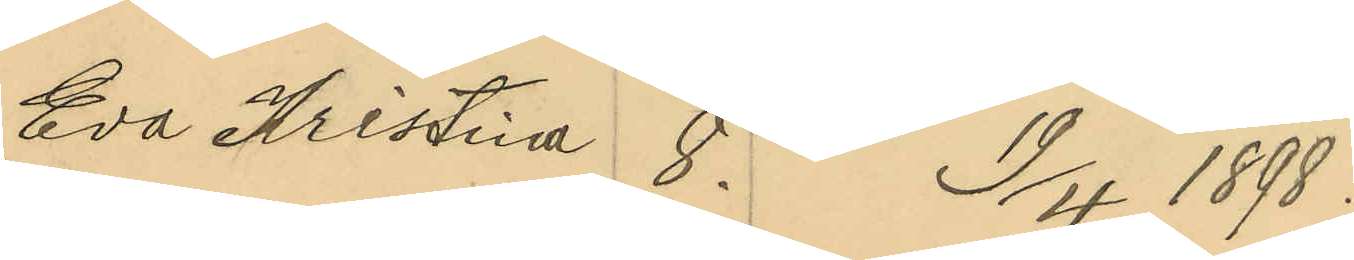Eva Kristina 8. 19/4 1898.
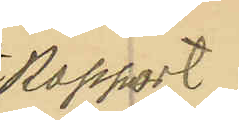Rapport
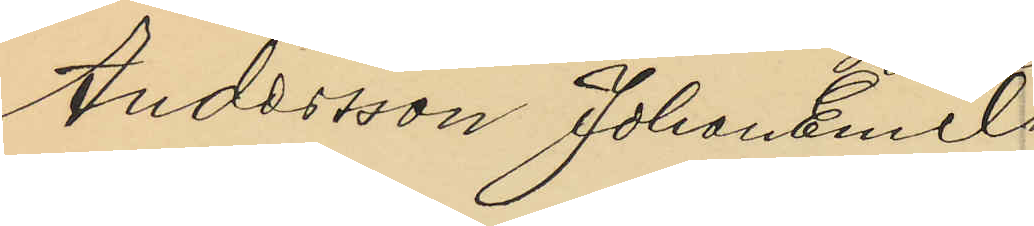Andersson Johan Emil
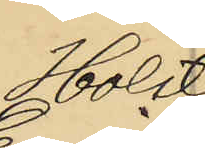Holst
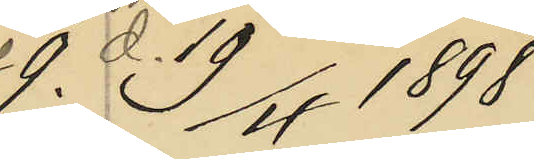9. d. 19/4 1898;
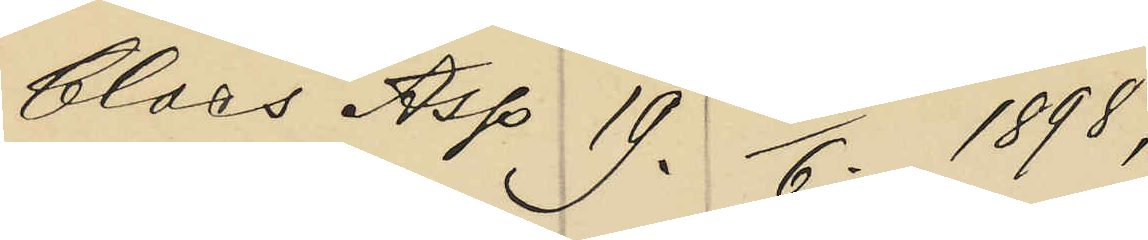Claes Asp 19. 3/6. 1898;
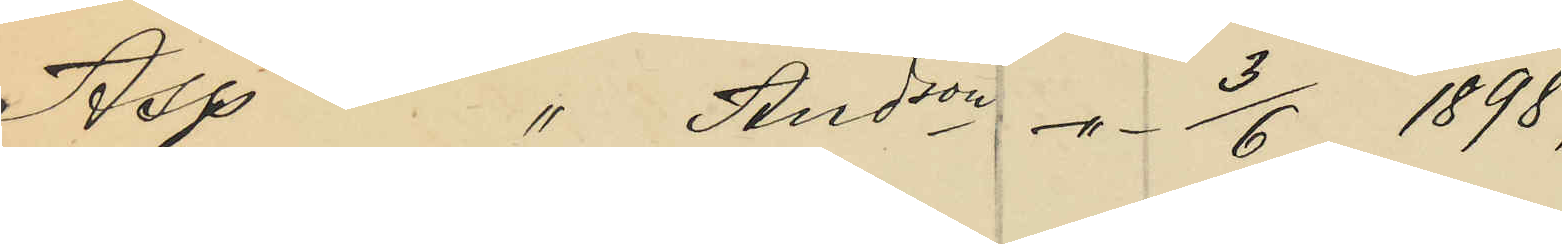Asp " Andson -"- 3/6 1898;
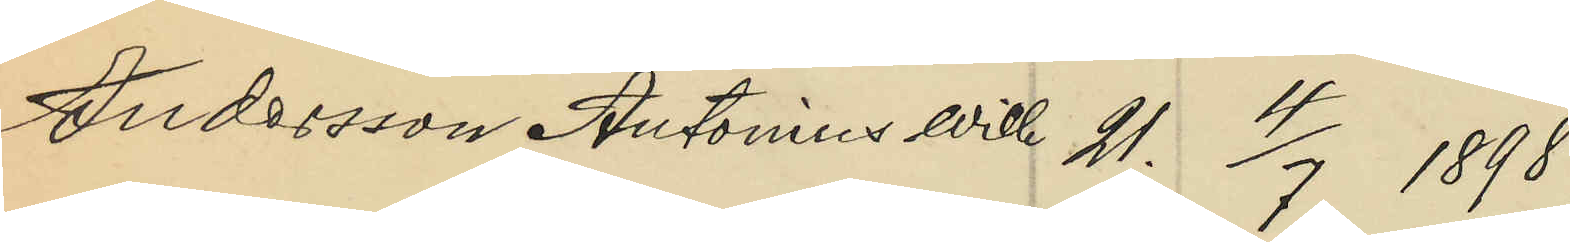Andersson Antonius Wilh 21. 4/7 1898;
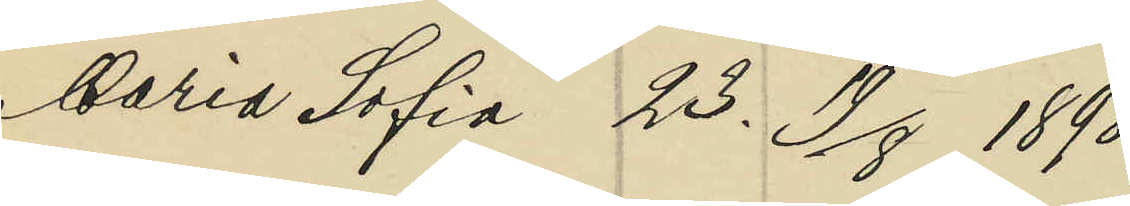Maria Sofia 23. 19/8 1898;
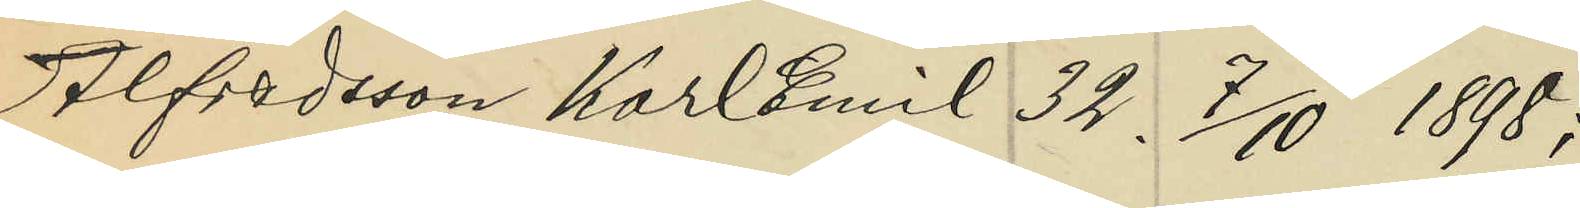Alfredsson Karl Emil 32. 7/10 1898;
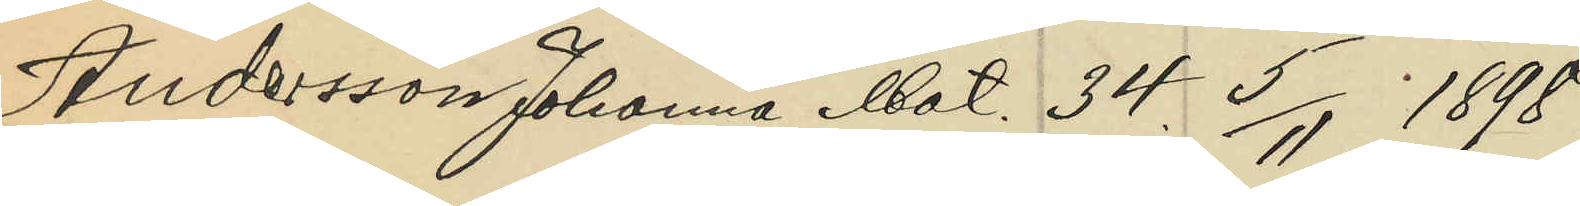Andersson Johanna Mat. 34. 5/11 1898;
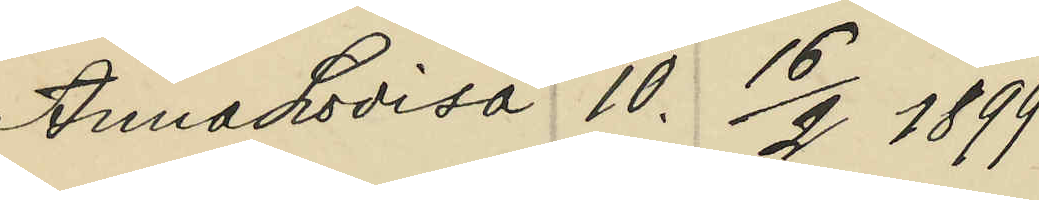Anna Lovisa 10. 16/2 1899;
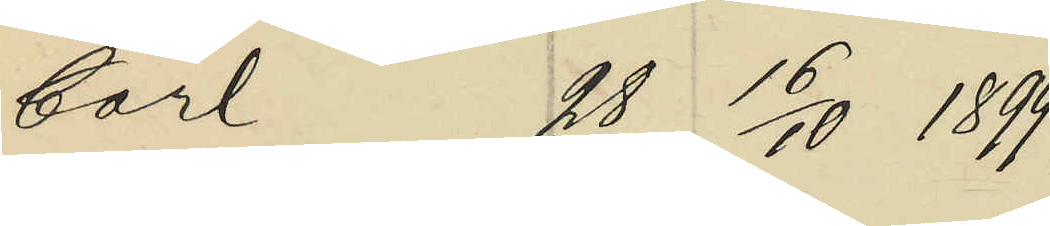Carl 28. 16/10 1899;
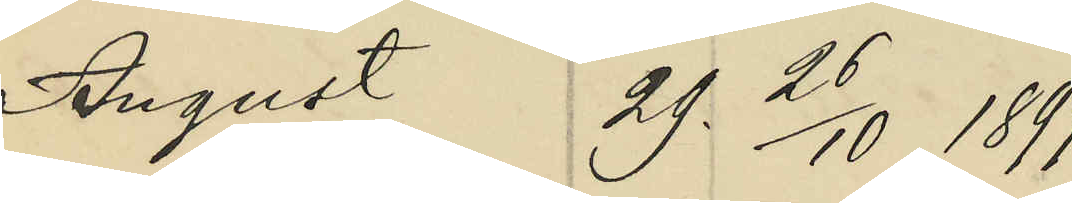August 29. 26/10 1897;
